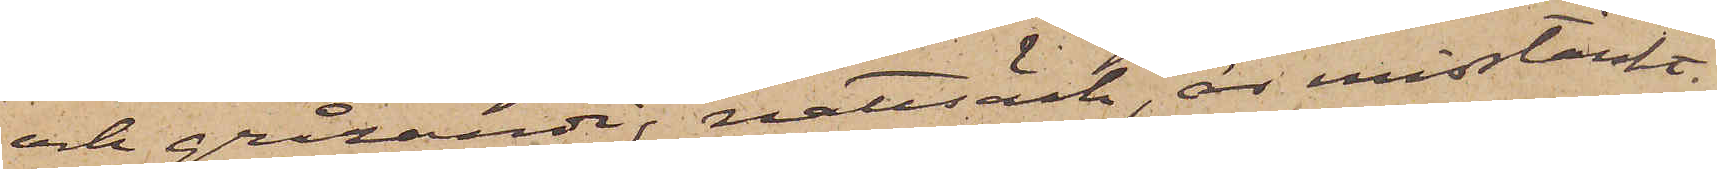och grårandig nattsäck, är misstänkt
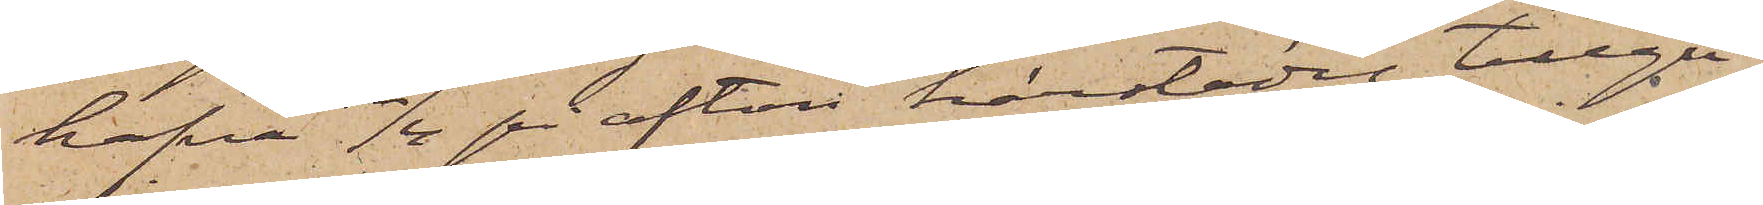hafva 12/4 på afton härstädes tillgri¬
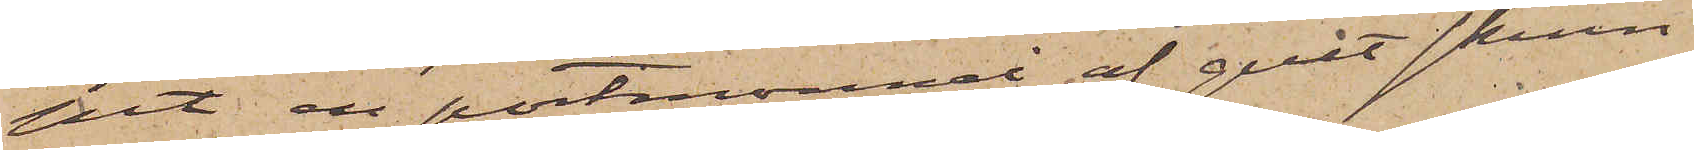pit en portmonnai af gult skinn
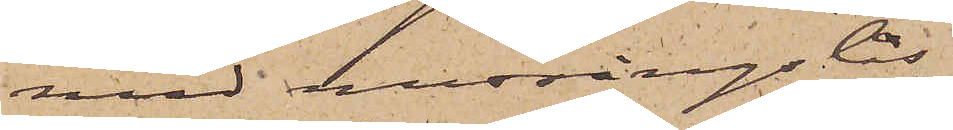med messingslås
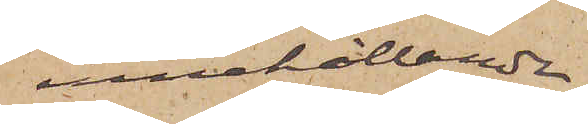innehållande
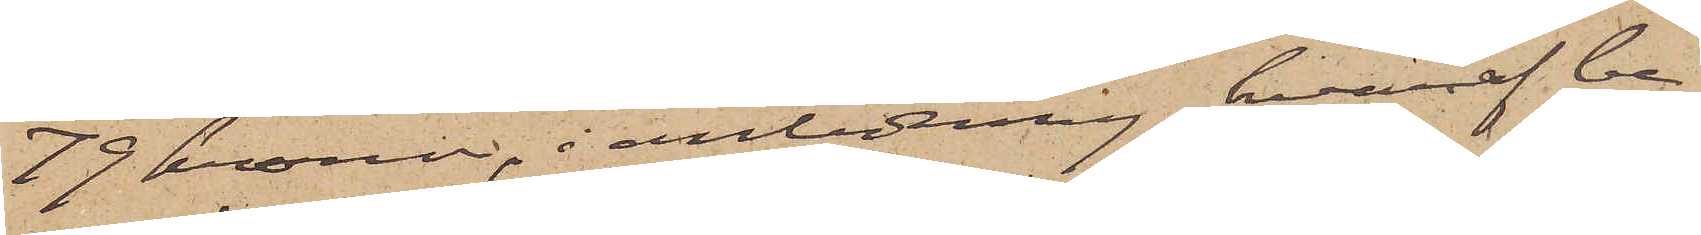79 kronor, i anledning hvaraf be¬
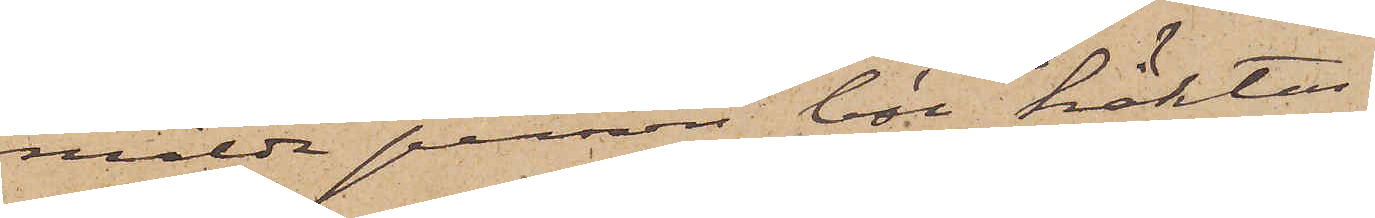mälda person bör häktas.
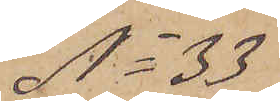No 33
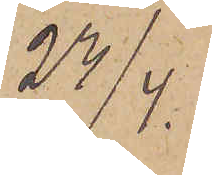23/4.
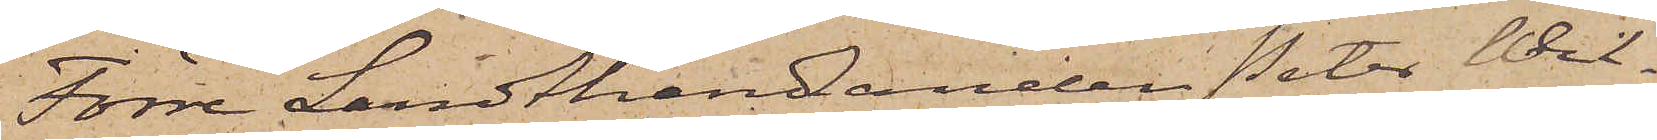Förre Landthandlanden Peter Wil¬
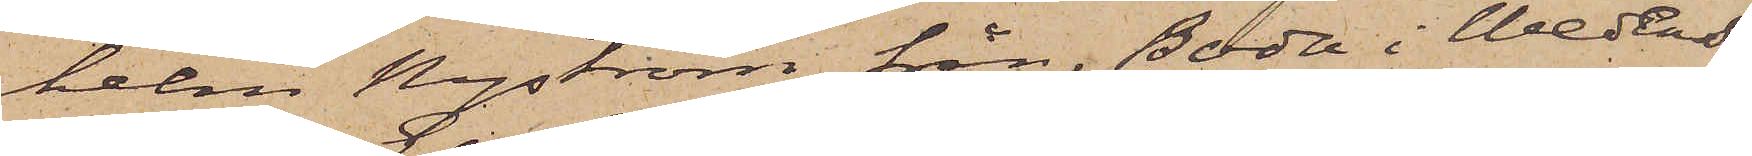helm Nyström från Boda i Wedens
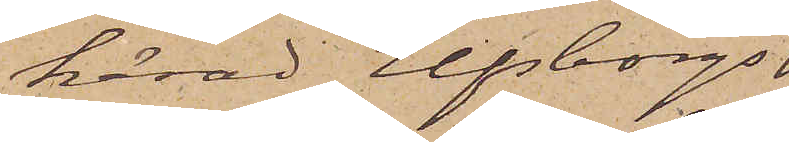härad Elfborgs
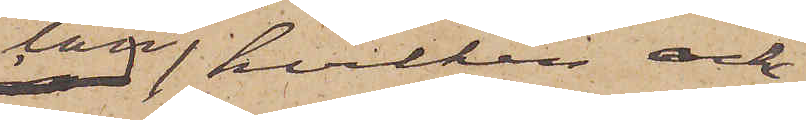län, hvilken ock
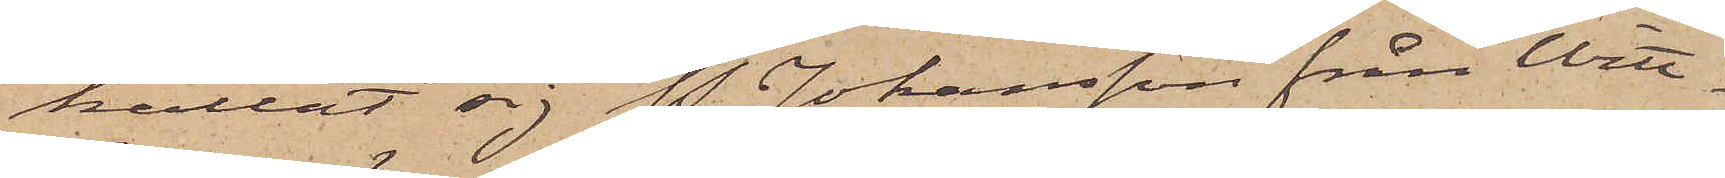kallat sig P. Johansson från Witt¬
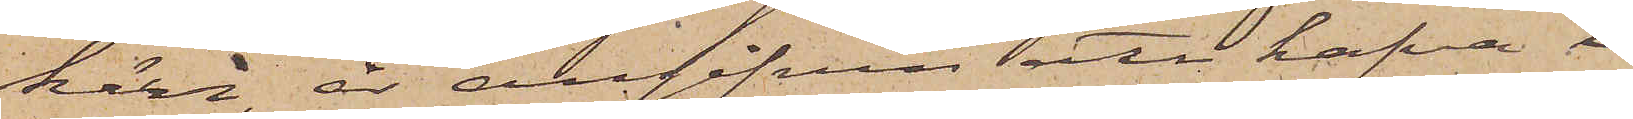kärr, är angifven att hafva i
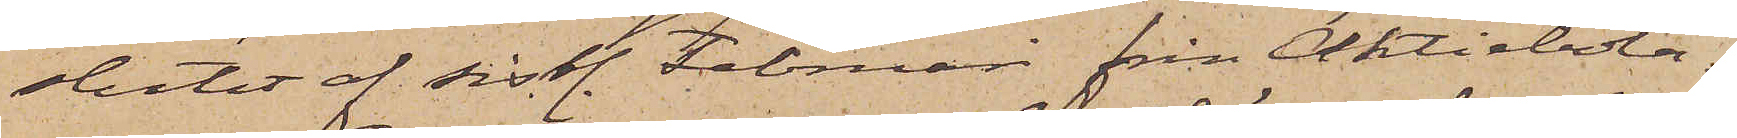slutet af sistl. Februari från Aktiebola¬
